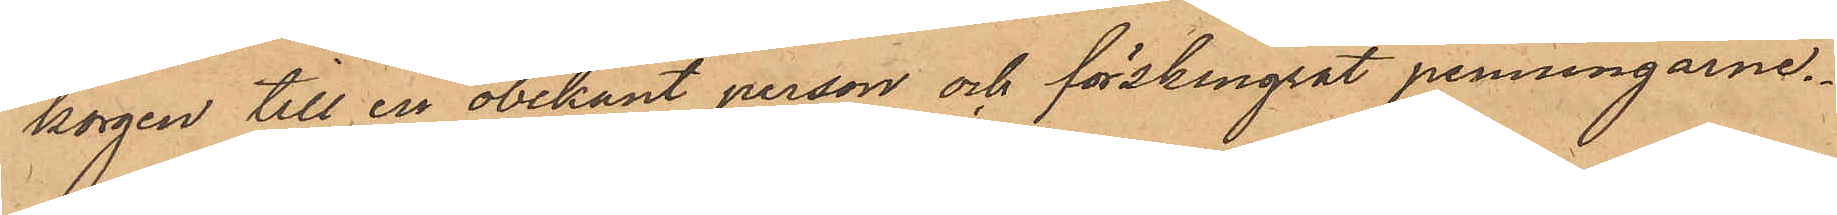korgen till en obekant person och förskingrat penningarne.
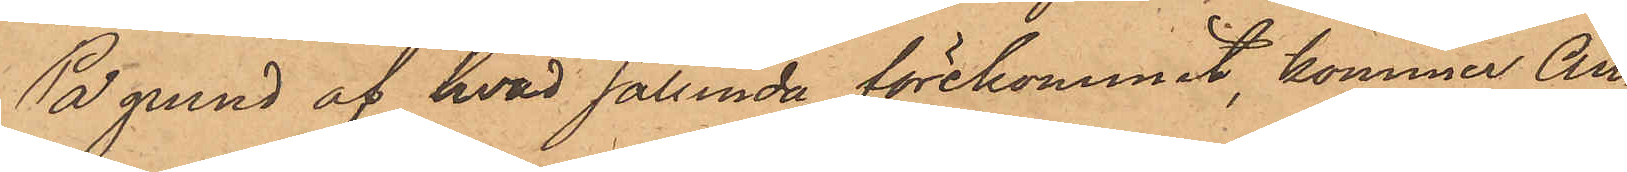På grund af hvad sålunda förekommit, kommer An¬
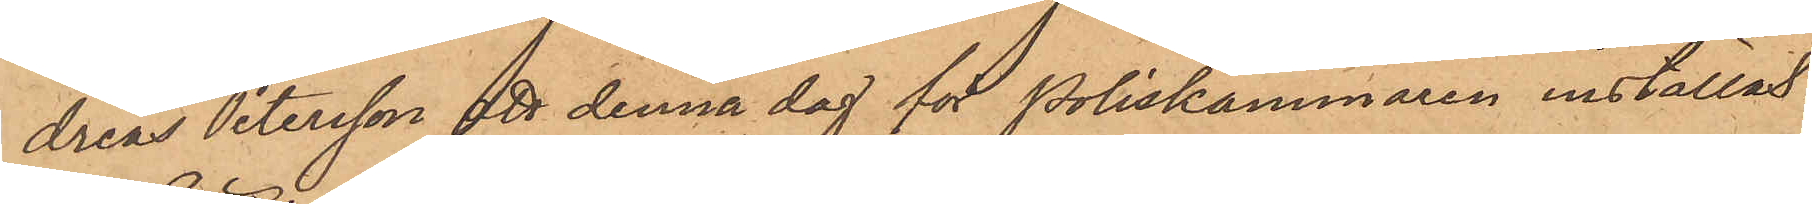dreas Petersson att denna dag för Poliskammaren inställas.
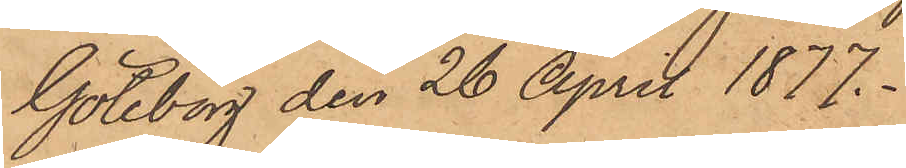Göteborg den 26 April 1877.
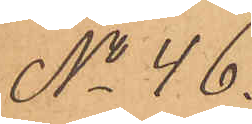No 46.
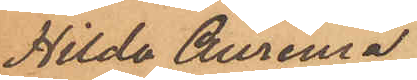Hilda Aurenia
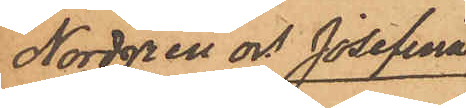Nordgren och Josefina
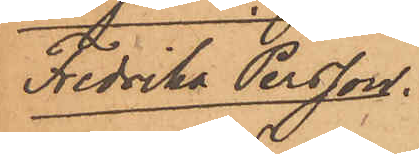Fredrika Persson.
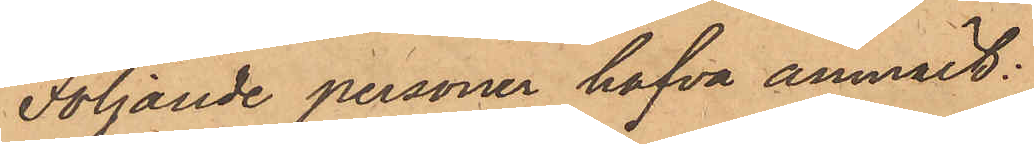Följande personer hafva anmält:
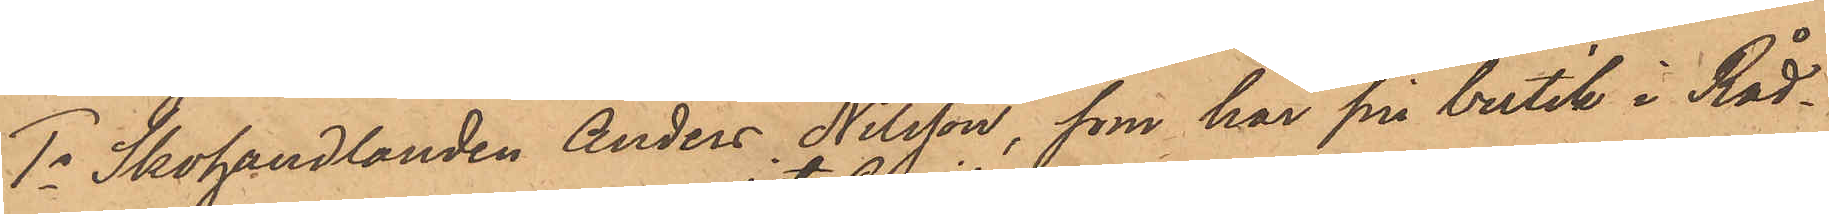1o Skohandlanden Anders Nilsson, som har sin butik i Råd¬
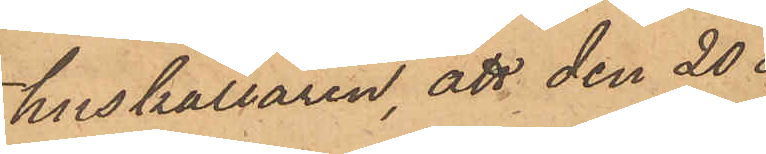huskällaren, att den 20 
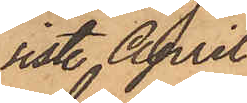sist. April
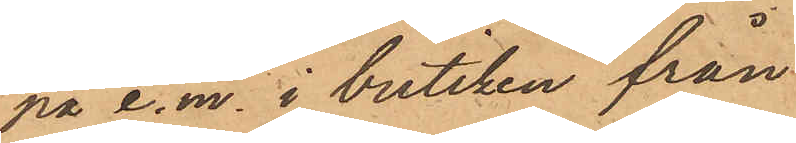på e.m. i butiken från
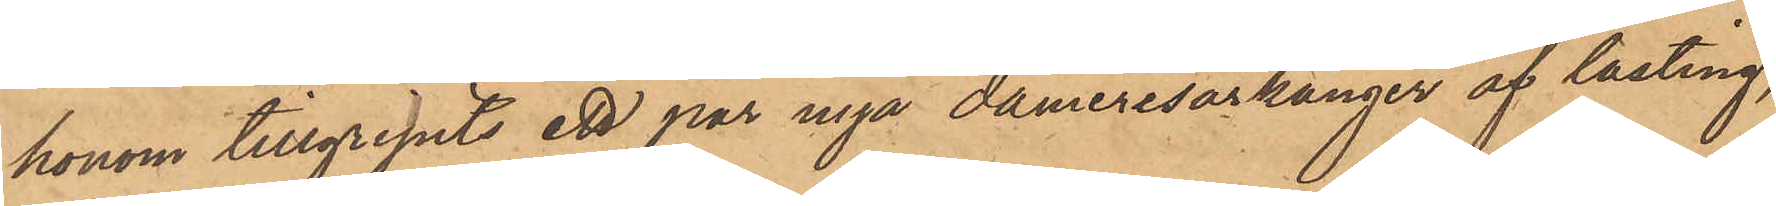honom tillgripits ett par nya dameresårkänger af lasting,
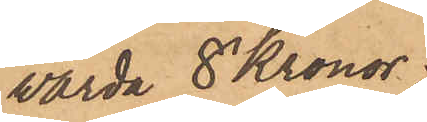värda 8 Kronor;
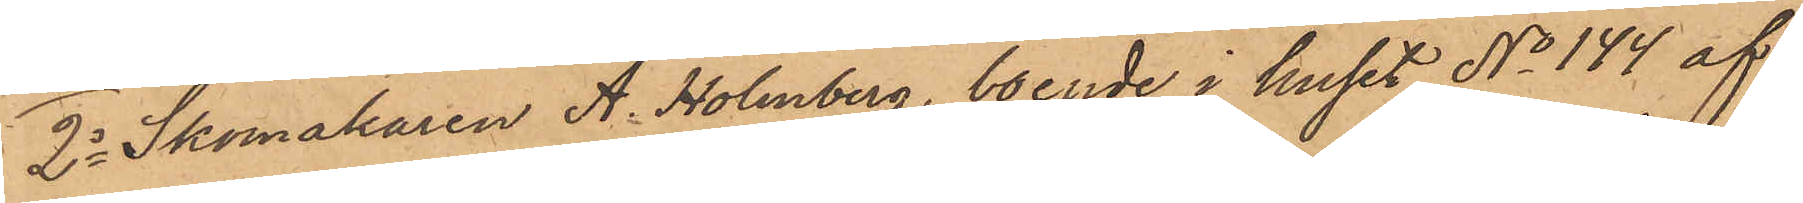2o Skomakaren A. Holmberg, boende i huset No 144 af
